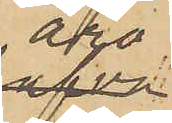äro
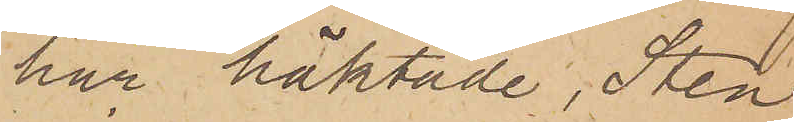här häktade, Sten
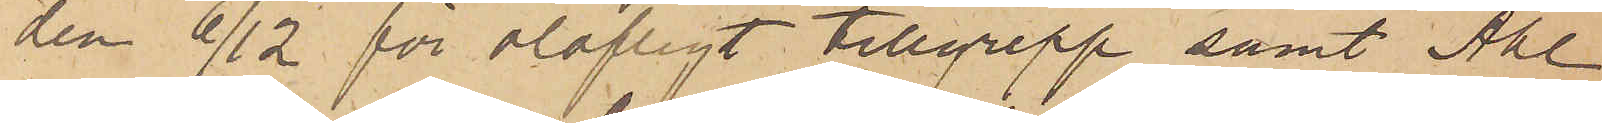den 6/12 för olofligt tillgrepp samt Ahl
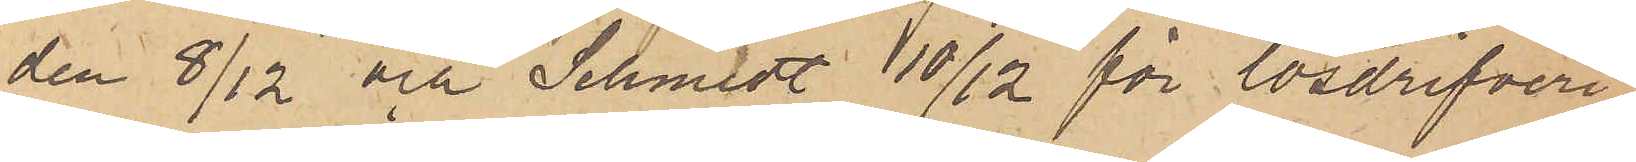den 8/12 och Schmidt 10/12 för lösdrifveri
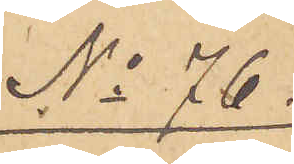No 76.
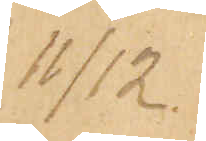11/12.
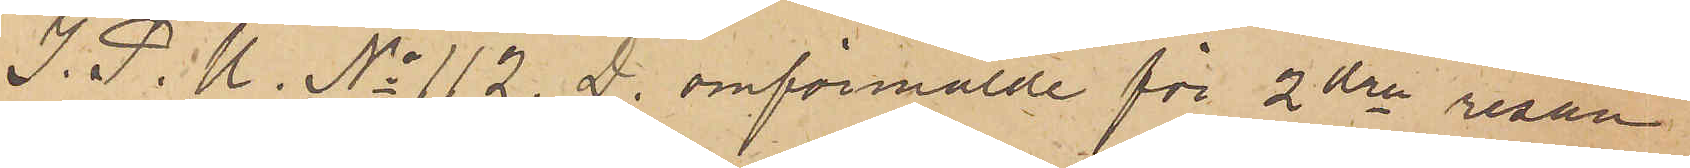I. P. U. No 112 D. omförmälde för 2dra resan
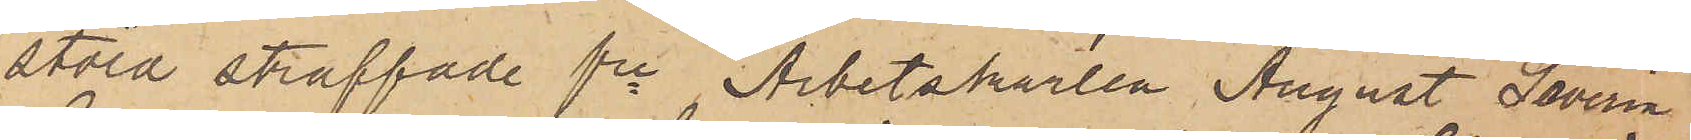stöld straffade fre Arbetskarlen August Severin
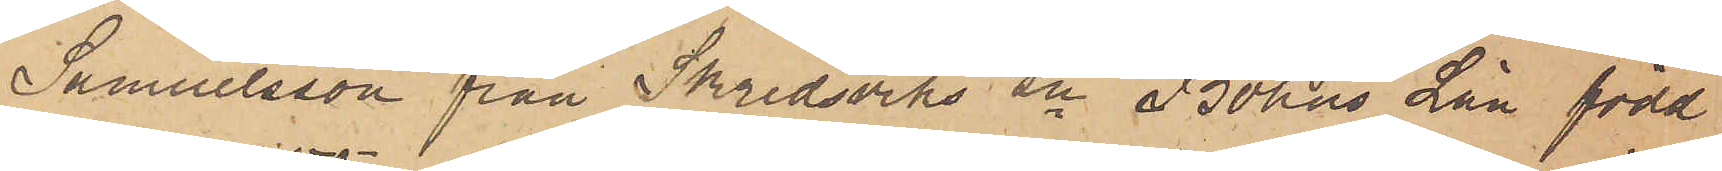Samuelsson från Skredsviks sn Bohus Län, född
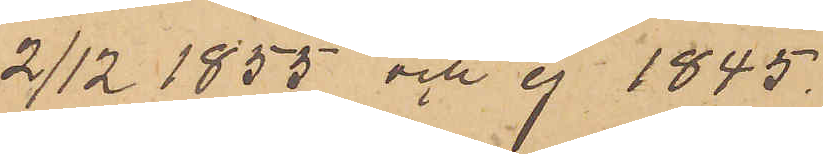2/12 1855 och ej 1845.
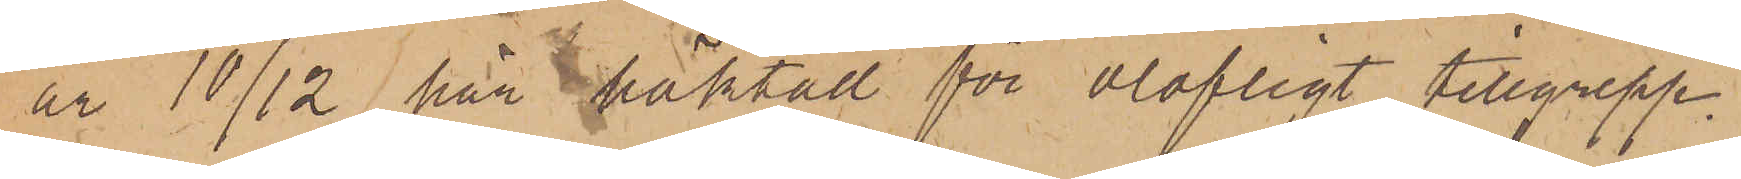är 10/12 här häktad för olofligt tillgrepp.
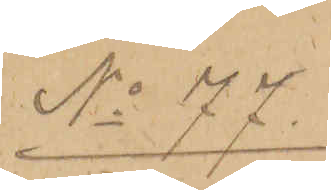No 77.
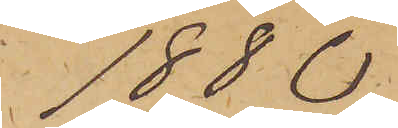1880
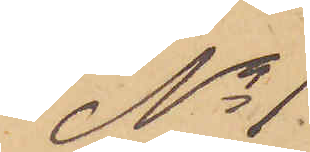No 1.
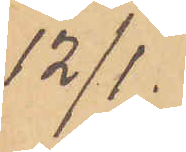12/1.
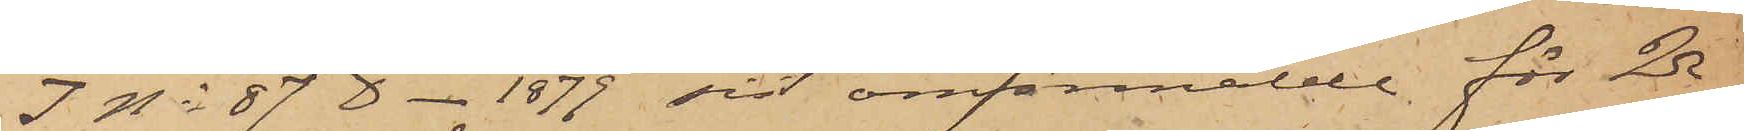I No 87 D - 1879 sist omförmälde för 2dra
